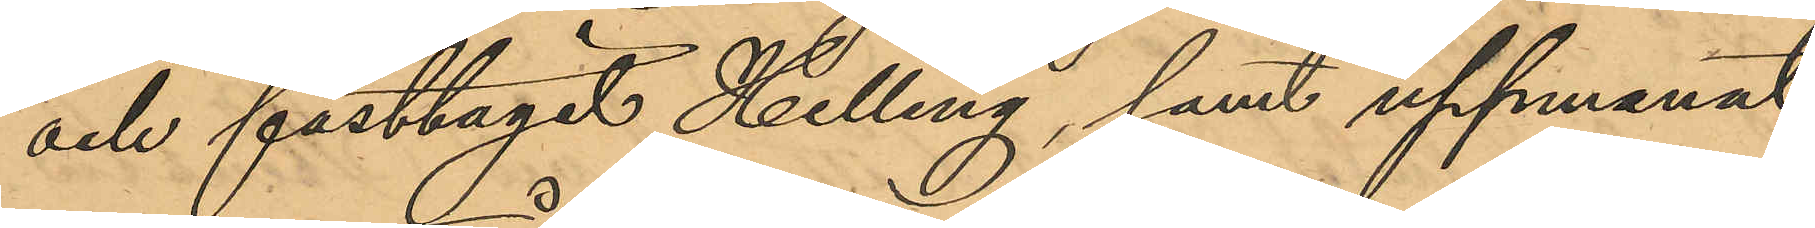och fasttagit Helling, samt uppmanat
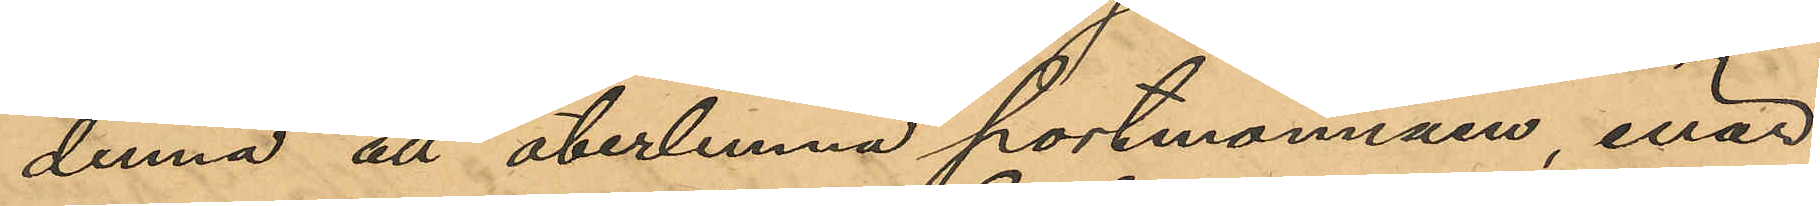denna att återlemna portmonnäen, enär
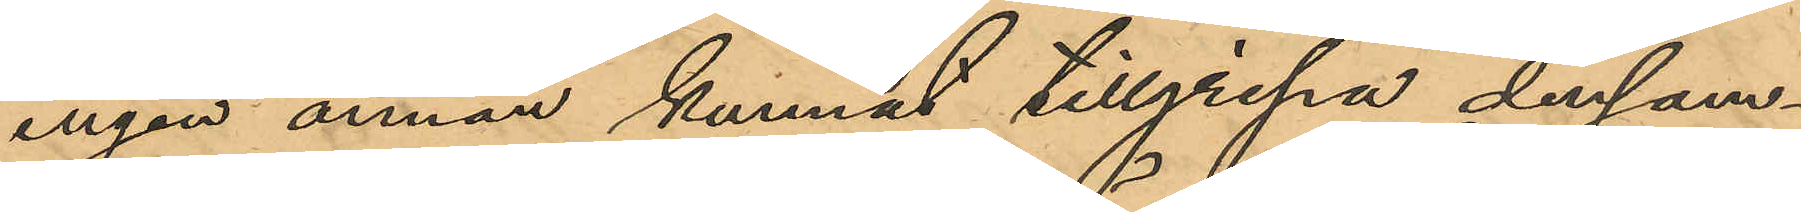ingen annan kunnat tillgripa densam¬
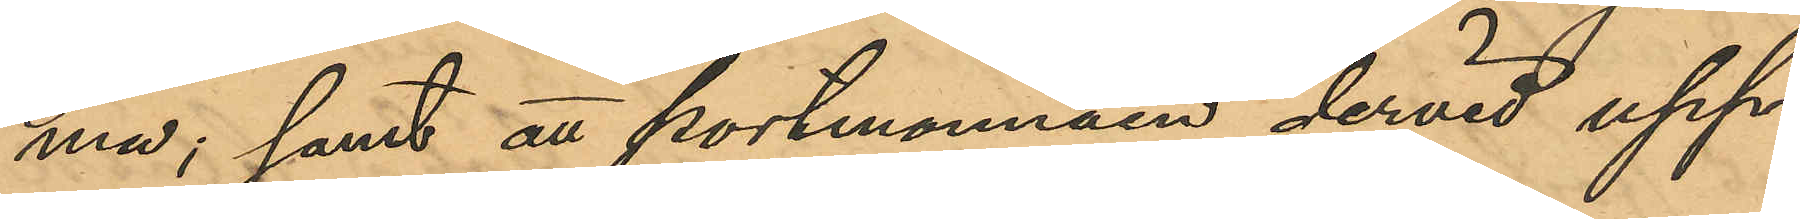ma; samt att portmonnäen dervid upp¬
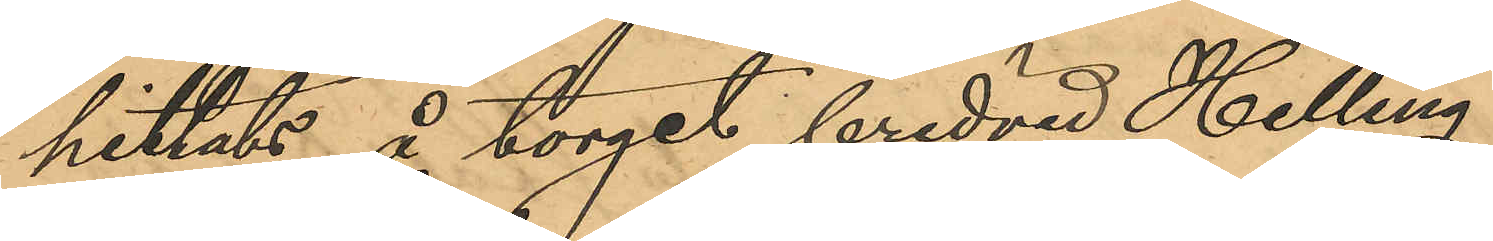hittats å torget bredvid Helling.
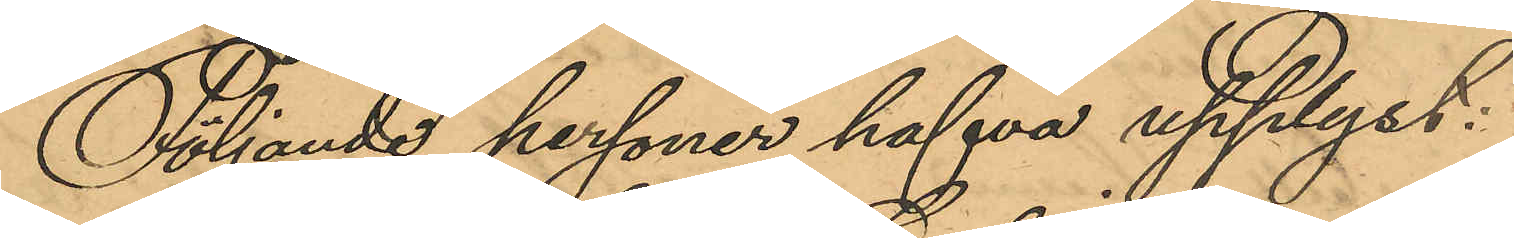Följande personer hafva upplyst:
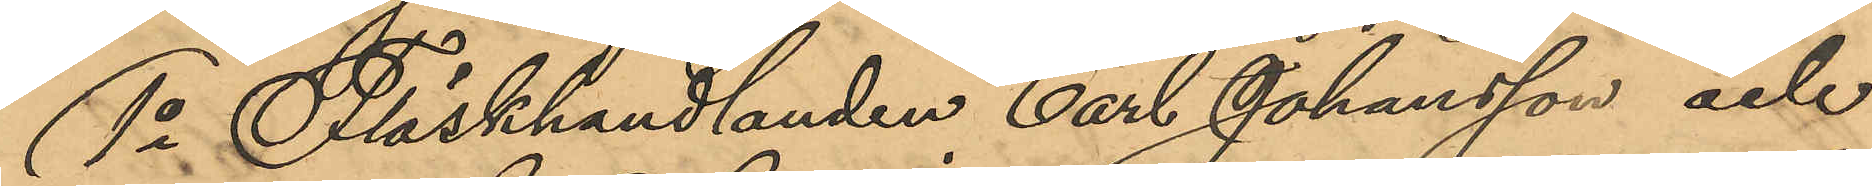1o Fläskhandlanden Carl Johansson och
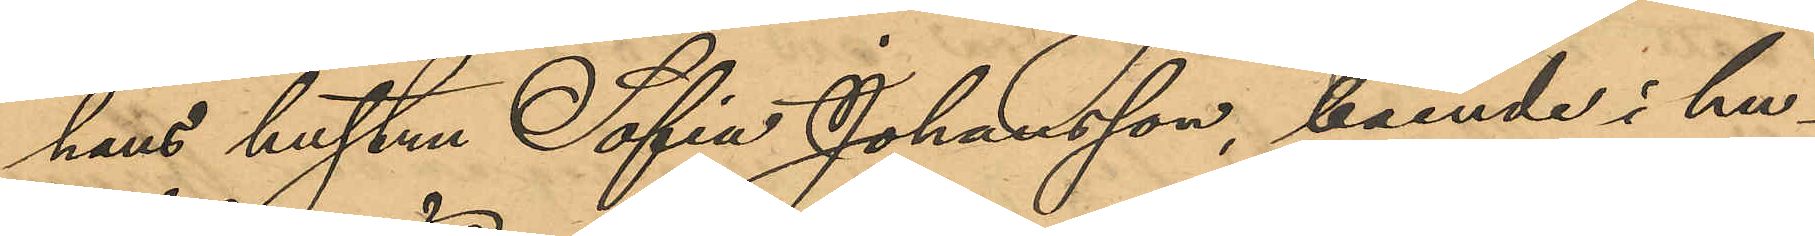hans hustru Sofia Johansson, boende i hu¬
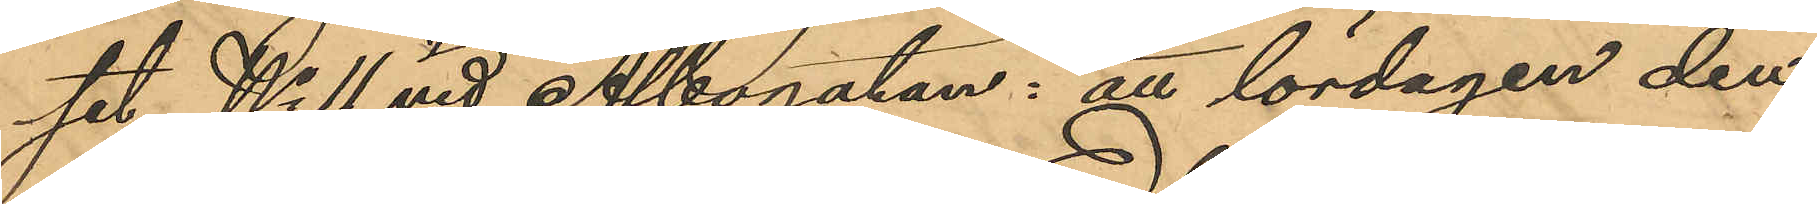set No 11 vid Albogatan: att lördagen den
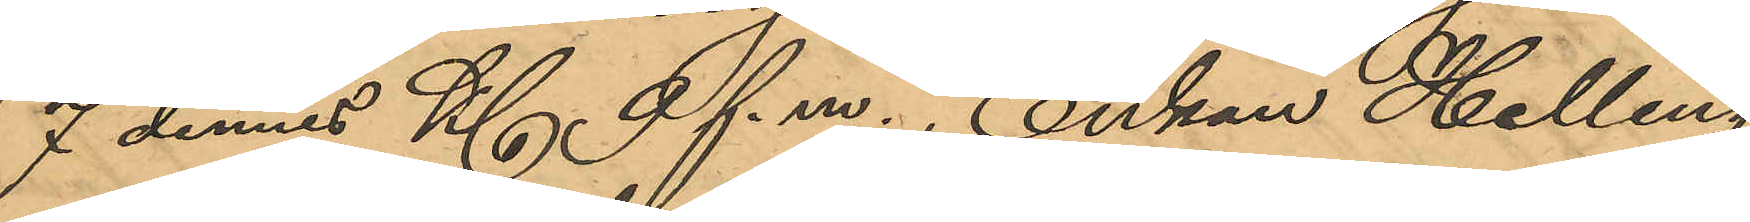7 dennes Kl 9 f.m., Enkan Helling
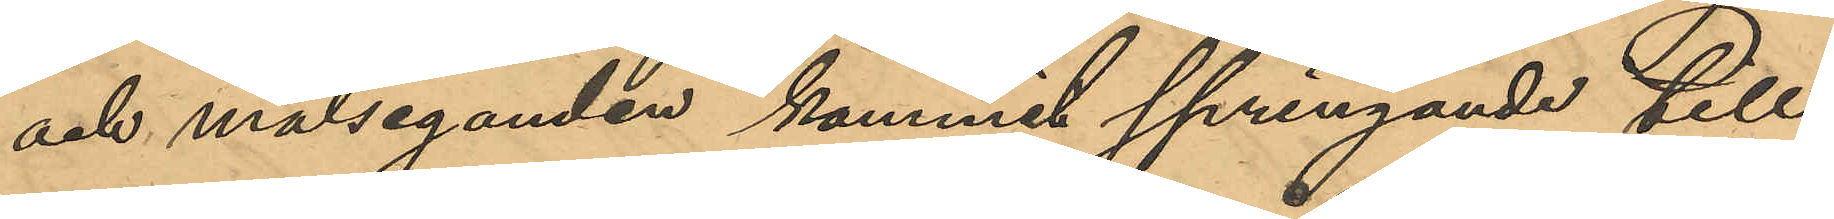och målseganden kommit springande till
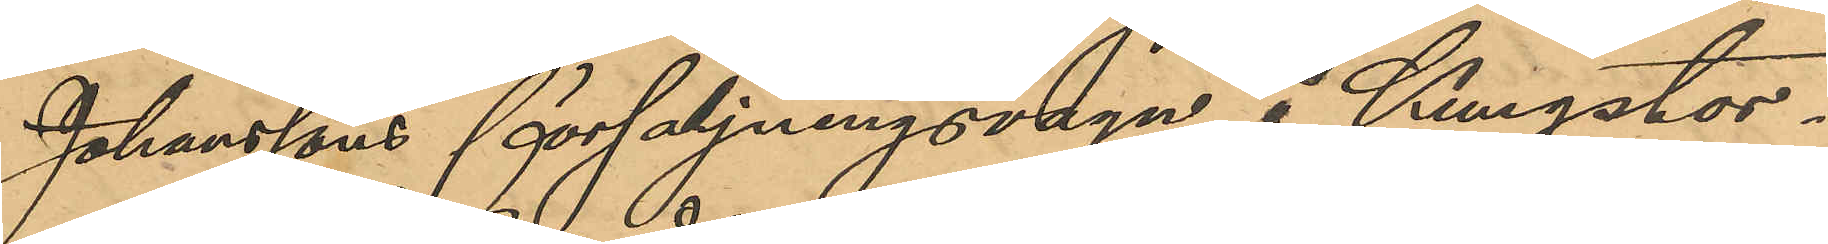Johanssons försäljningsvagn å Kungstor¬
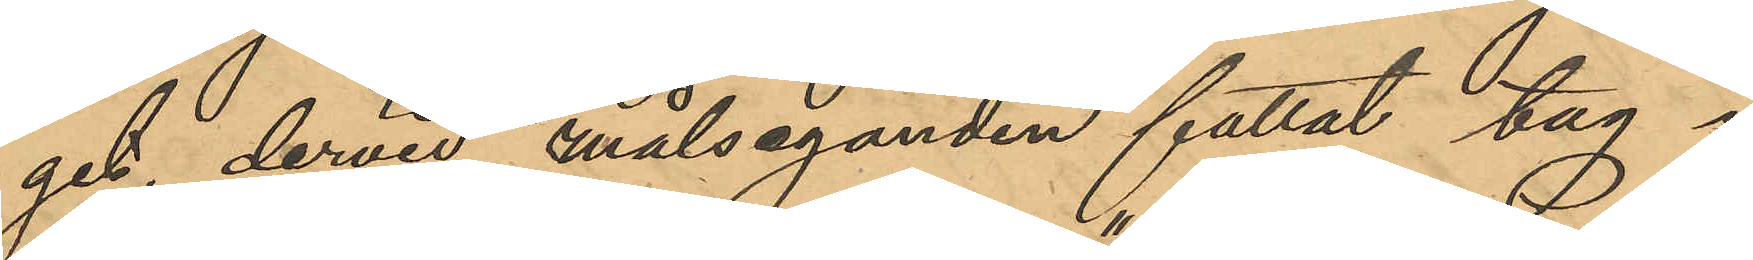get, dervid målseganden fattat tag i
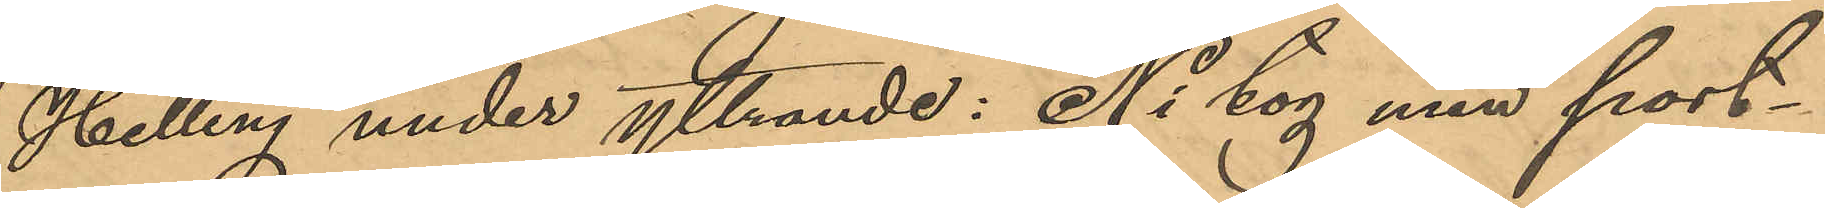Helling under yttrande: "Ni tog min port¬
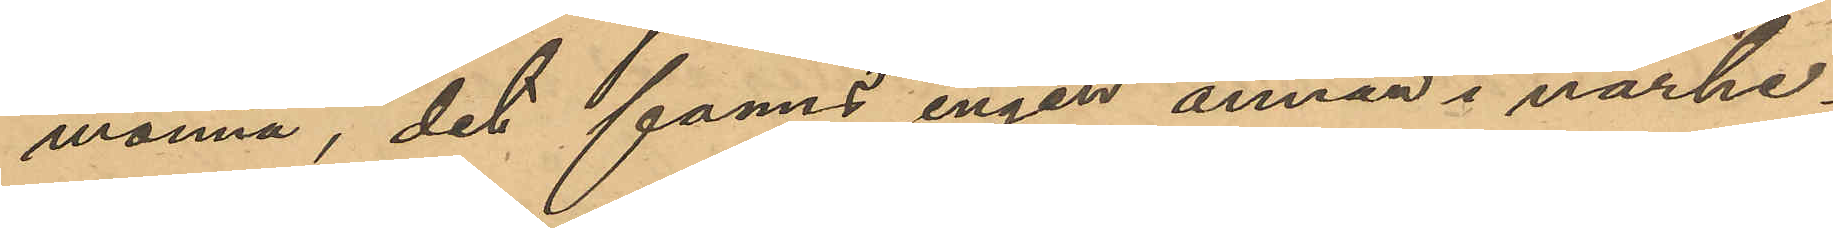monnä, det fanns ingen annan i närhe¬
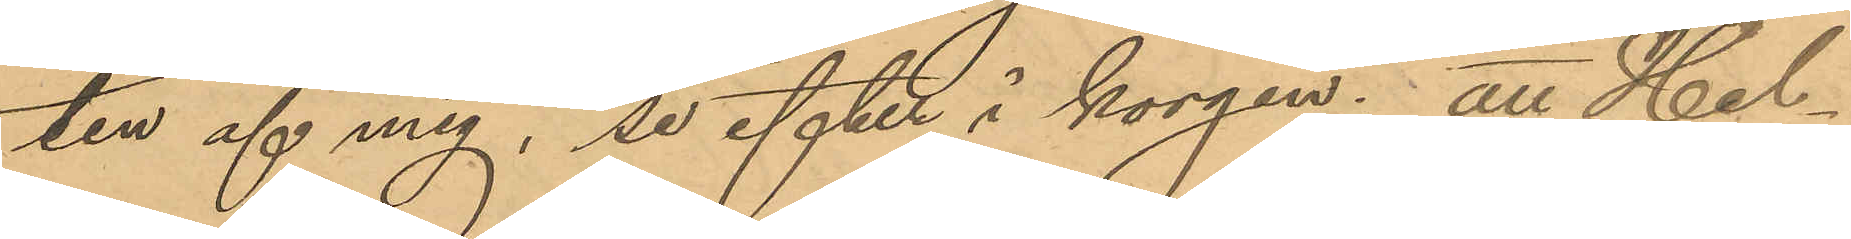ten af mig, se efter i korgen"; att Hel¬
